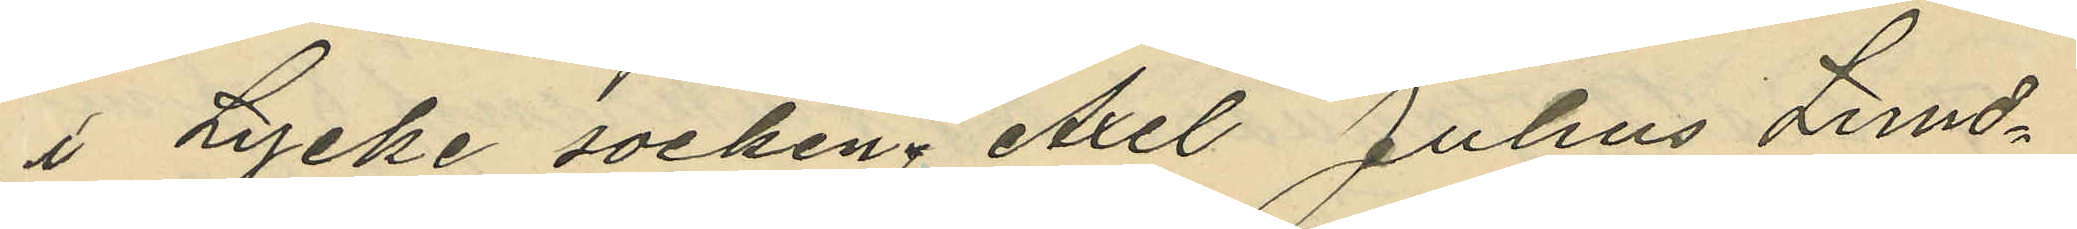i Lycke socken, Axel Julius Lund¬
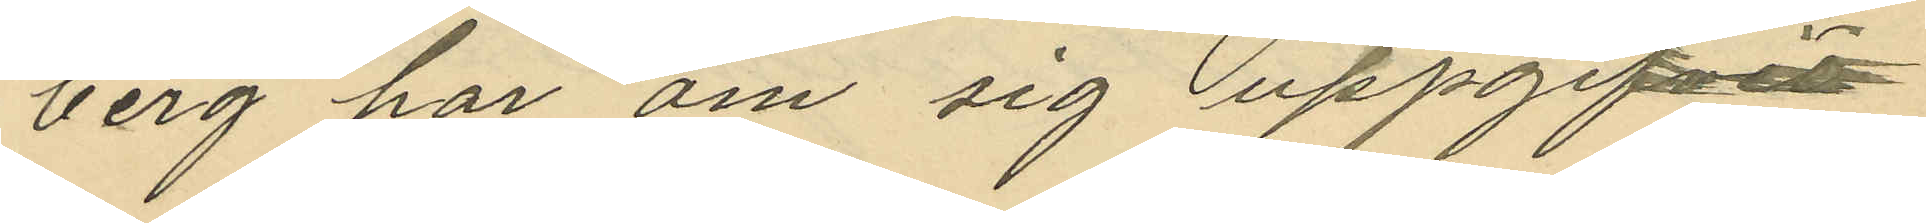berg har om sig uppgifvit
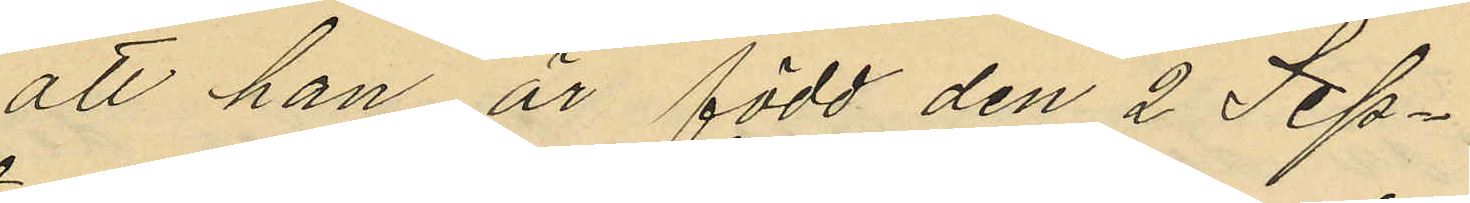att han är född den 2 Sep¬
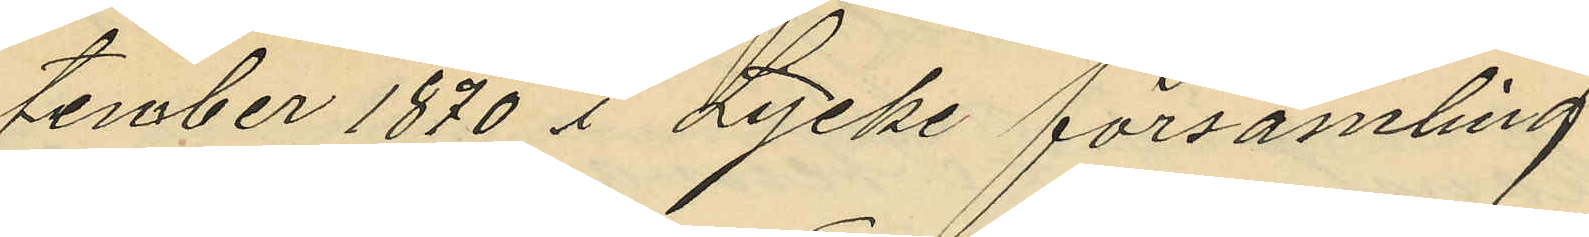tember 1870 i Lycke församling
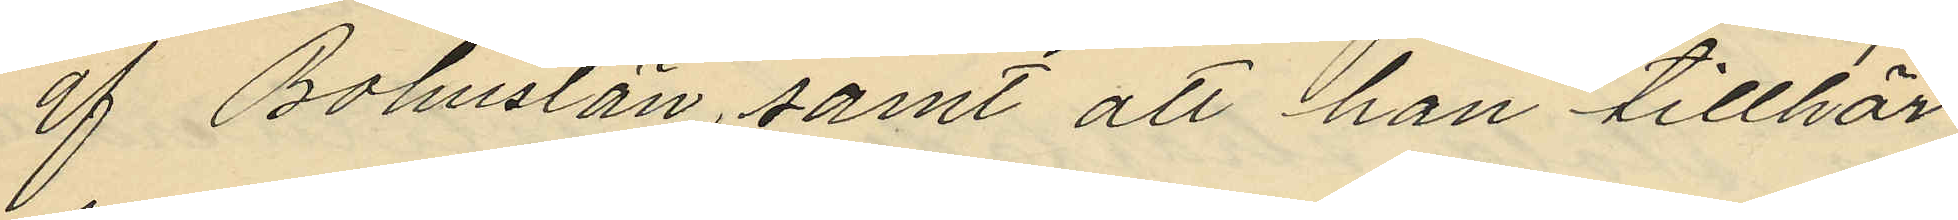af Bohuslän, samt att han tillhör
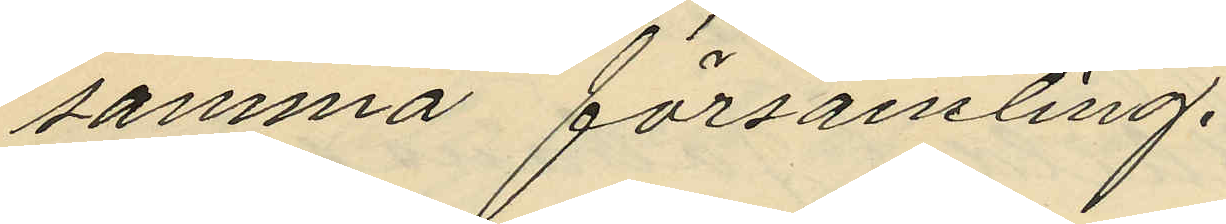samma församling.
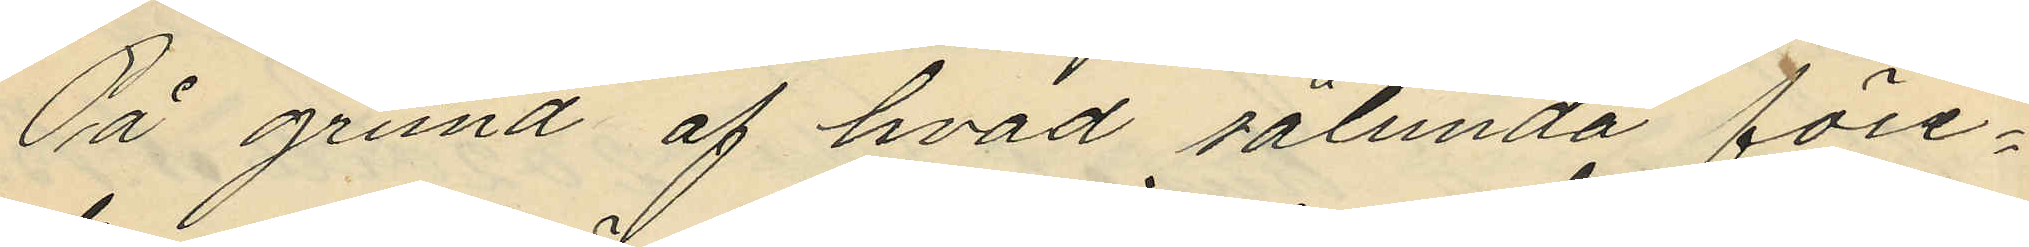På grund af hvad sålunda före¬
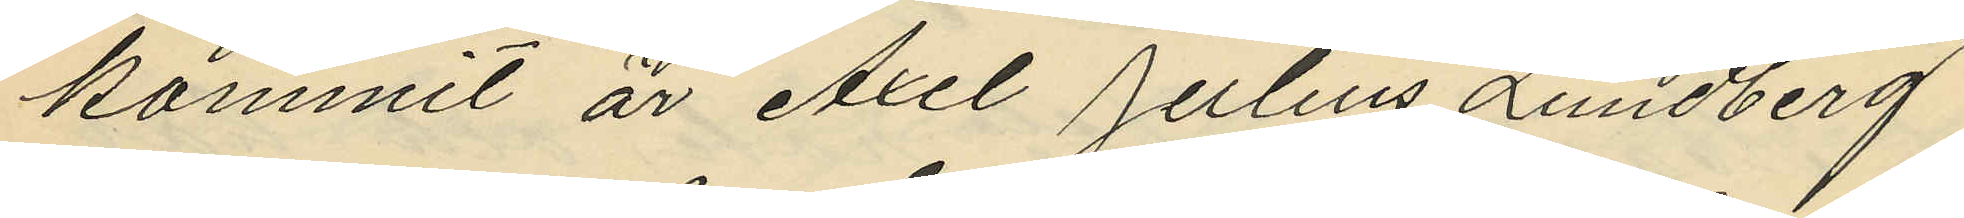kommit är Axel Julius Lundberg
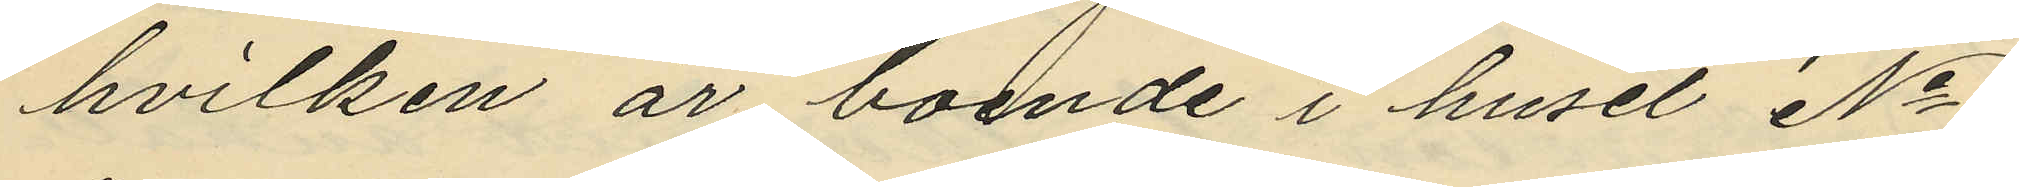hvilken är boende i huset No
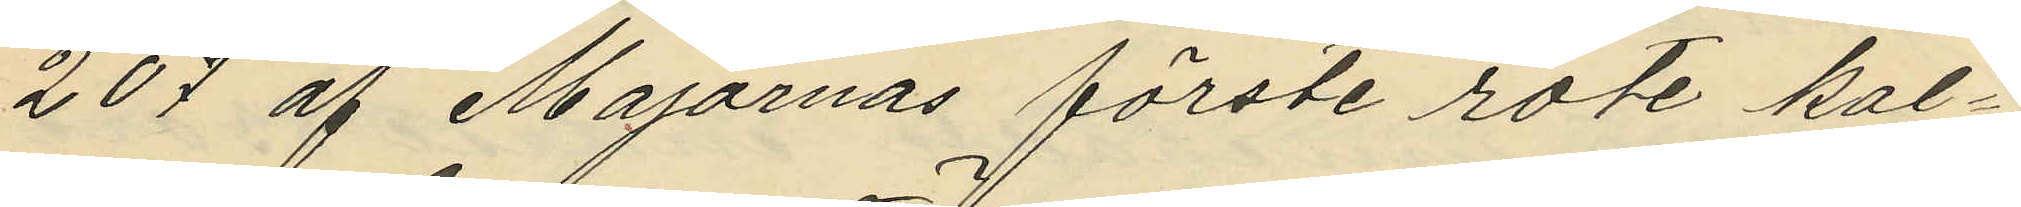207 af Majornas förste rote kal¬
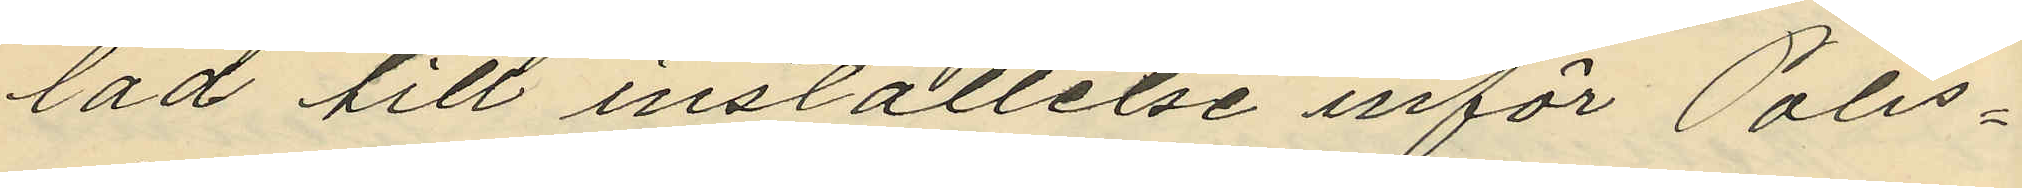lad till inställelse inför Polis¬
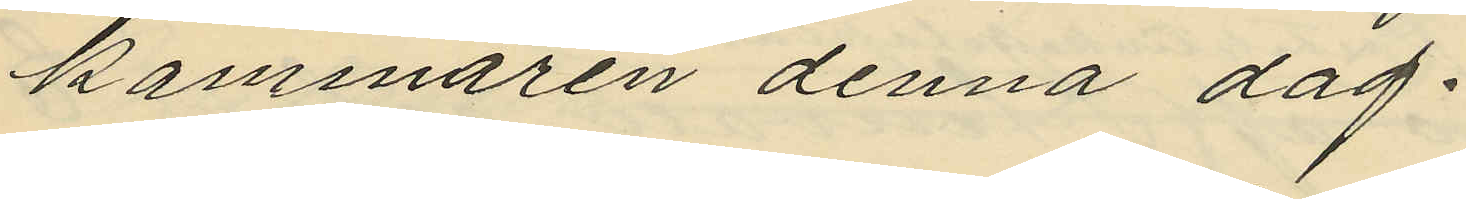kammaren denna dag.
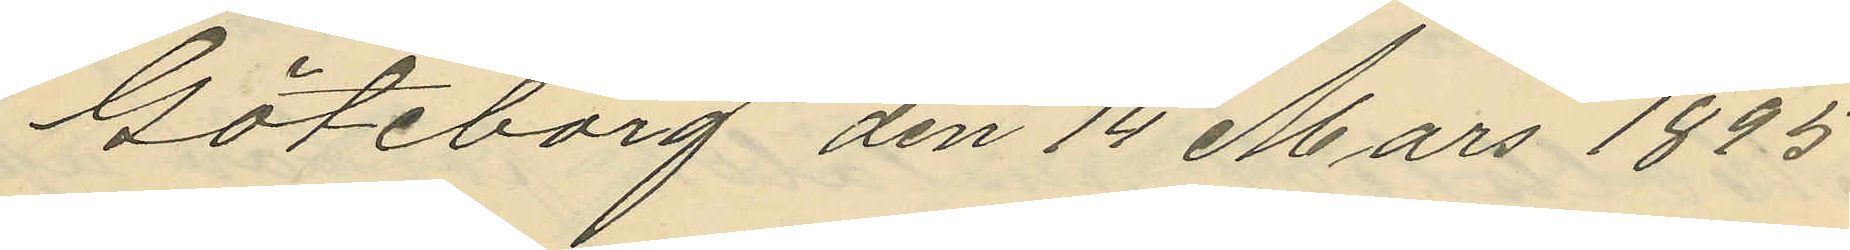Göteborg den 14 Mars 1895
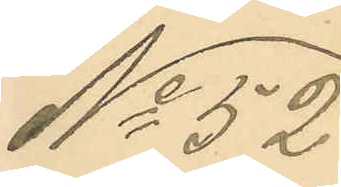No 52
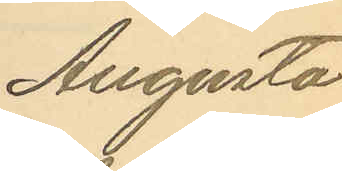Augusta
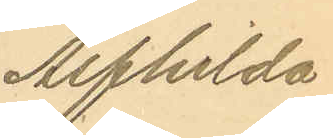Alfhilda
